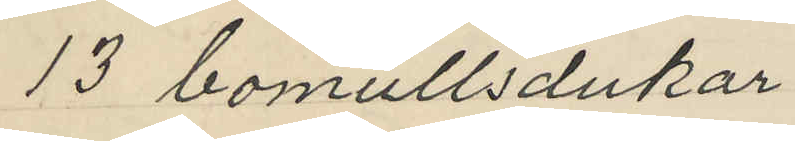13 bomullsdukar
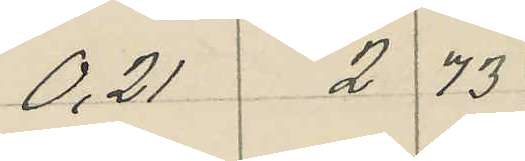0,21 2 73
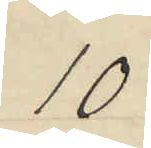10
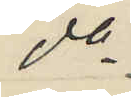do
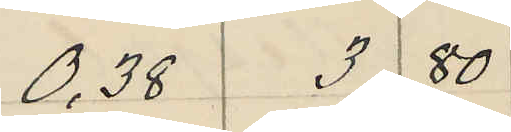0,38 3 80 
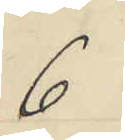6
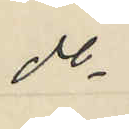do
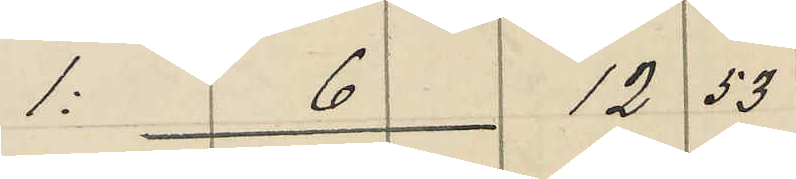1: 6 12 53
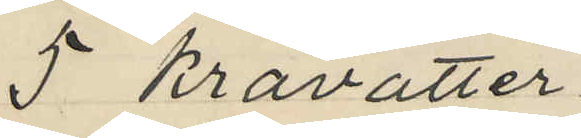5 kravatter
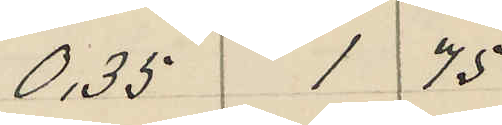0,35 1 75
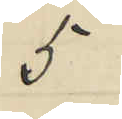5
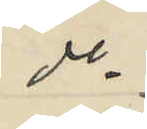do
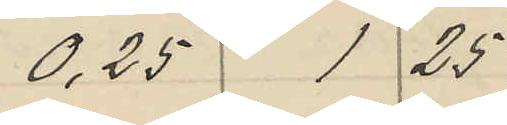0,25 1 25
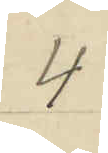4
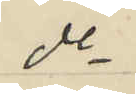do
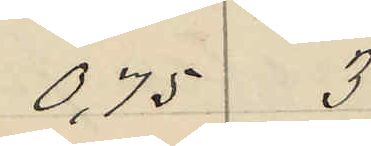0,75 3
